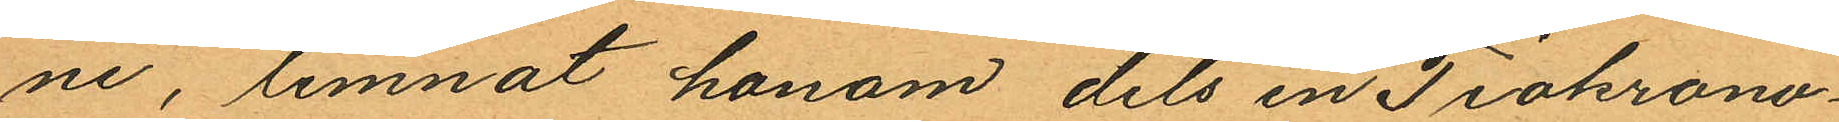ne, lemnat honom dels en Tiokrono¬
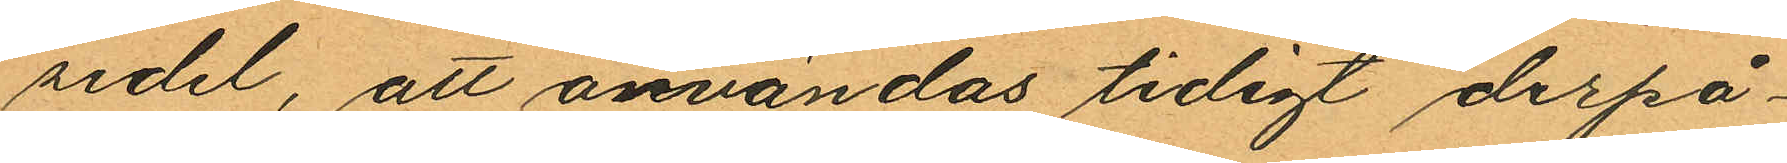sedel, att användas tidigt derpå¬
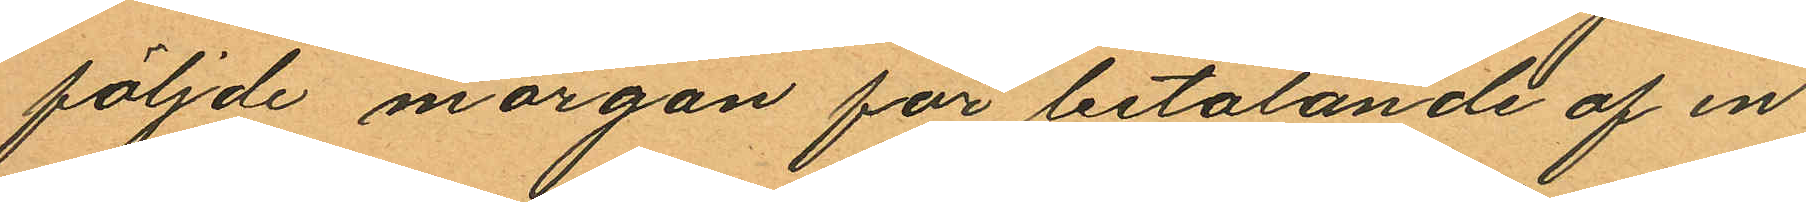följde morgon för betalande af en
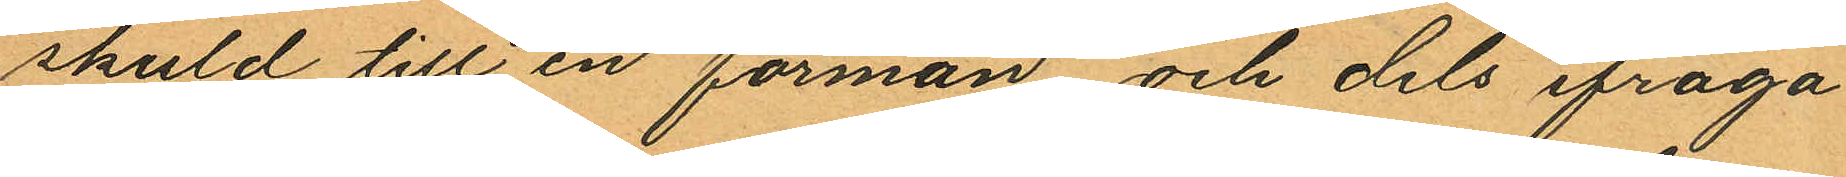skuld till en förman och dels ifråga
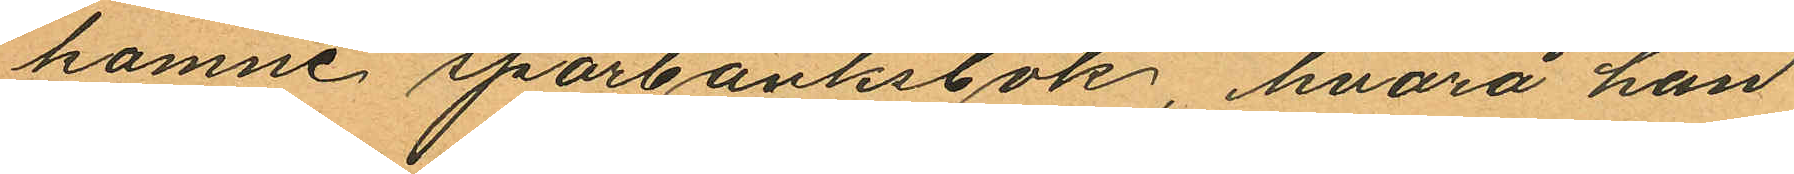komne sparbanksbok, hvarå han
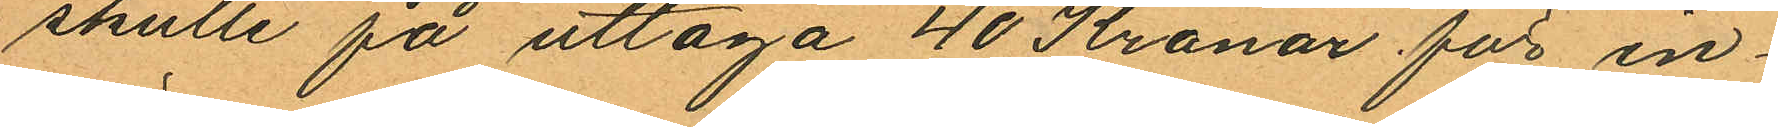skulle på uttaga 40 Kronor för in¬
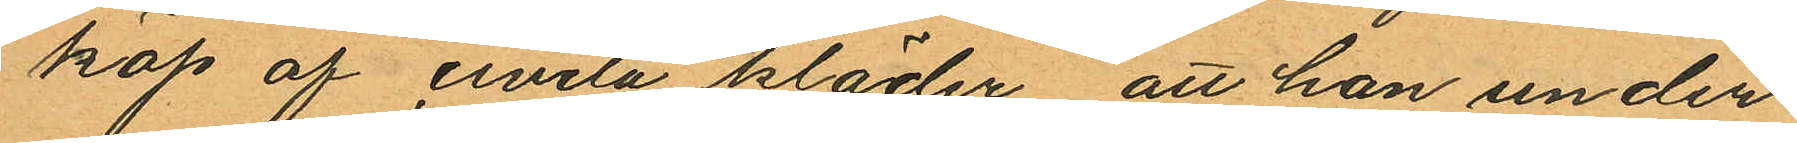köp af civila kläder att han under
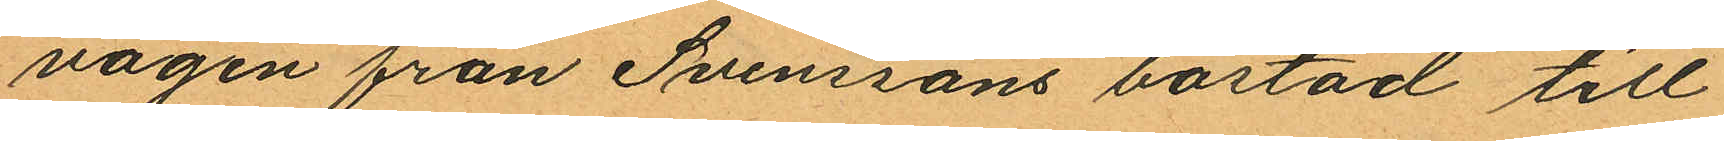vägen från Svenssons bostad till
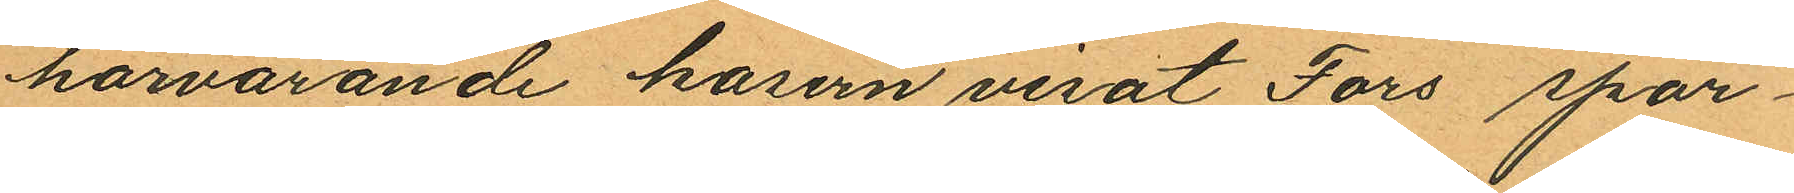härvarande kasern visat Fors spar¬
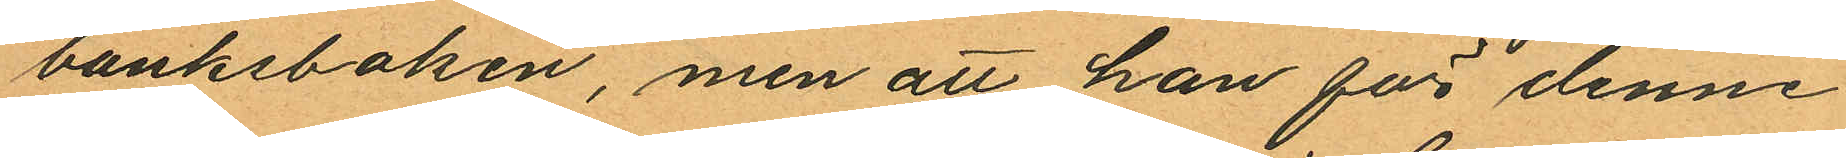banksboken, men att han för denne
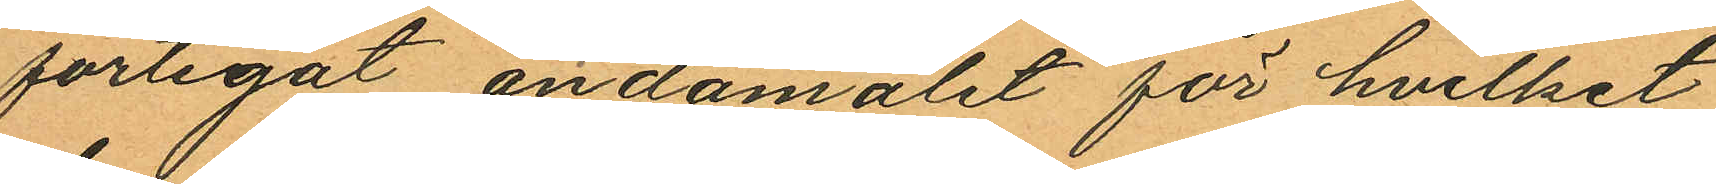förtegat ändamålet för hvilket
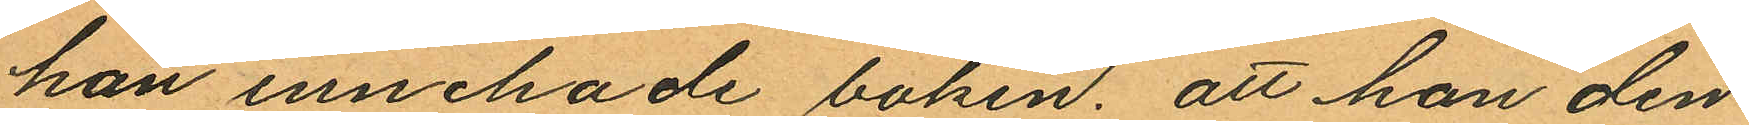han innehade boken; att han den
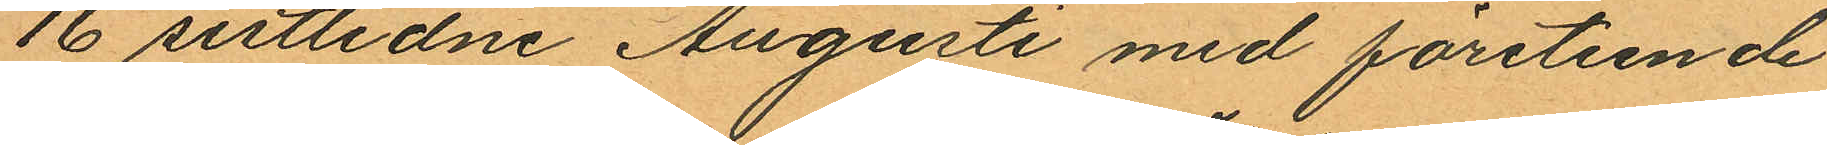16 sistlidne Augusti med företeende
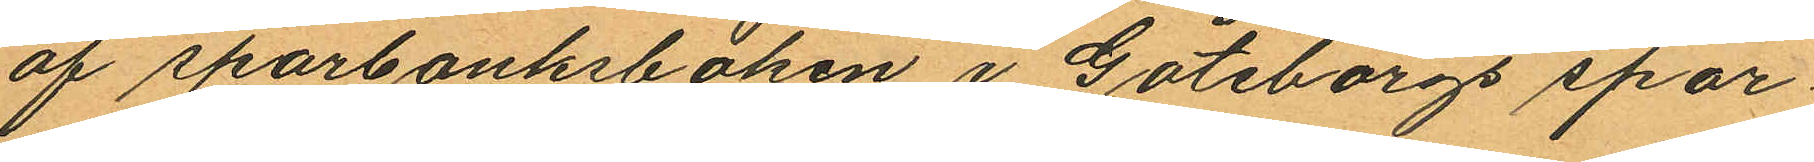af sparbanksboken i Göteborgs spar¬
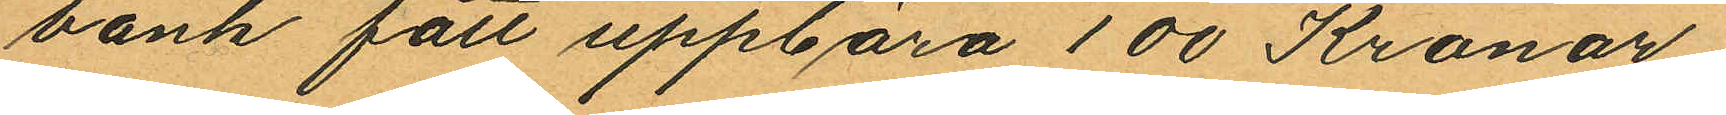bank fått uppbära 100 Kronor;
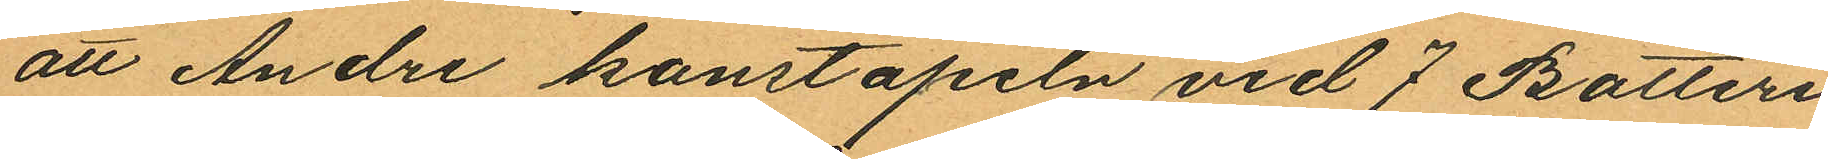att Andre konstapeln vid 7 Batteri
